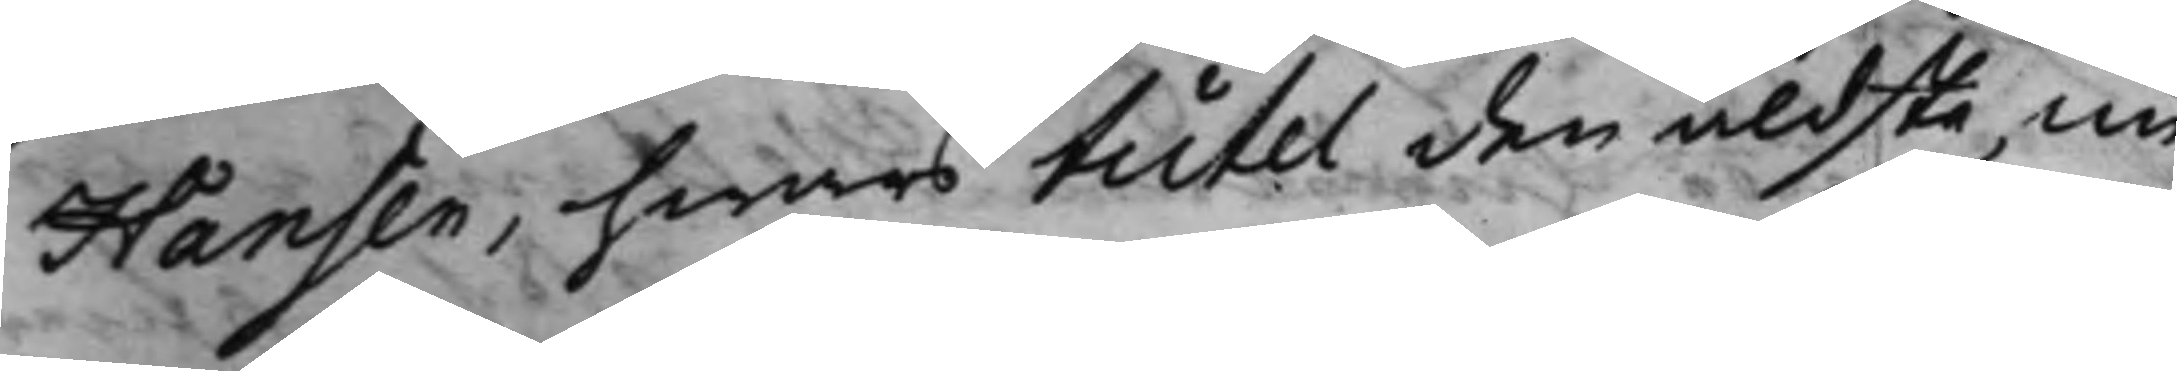Hansen, hwars tutel den äldsta, nu
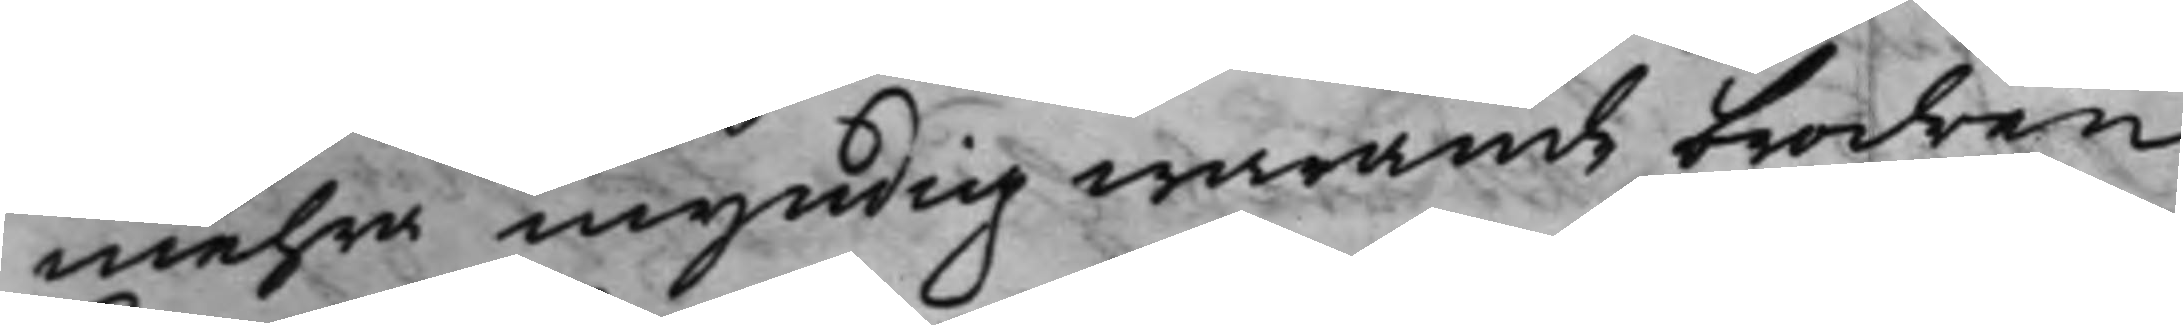mehra myndig warande brodren
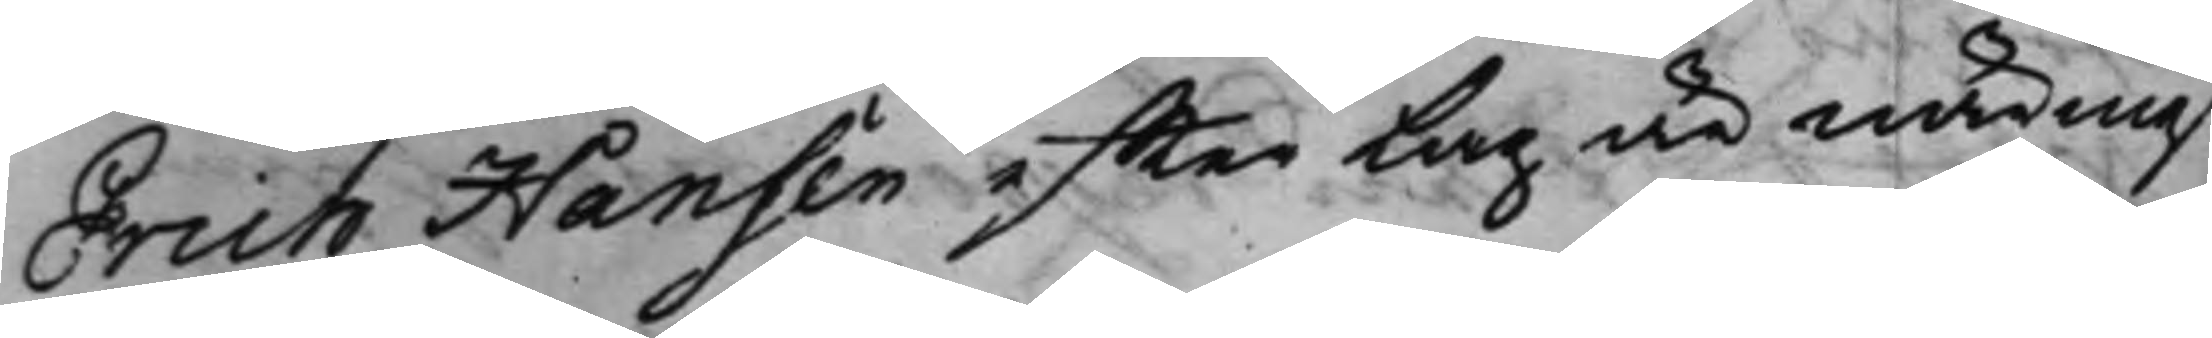Erich Hansen effter Lag är närmast
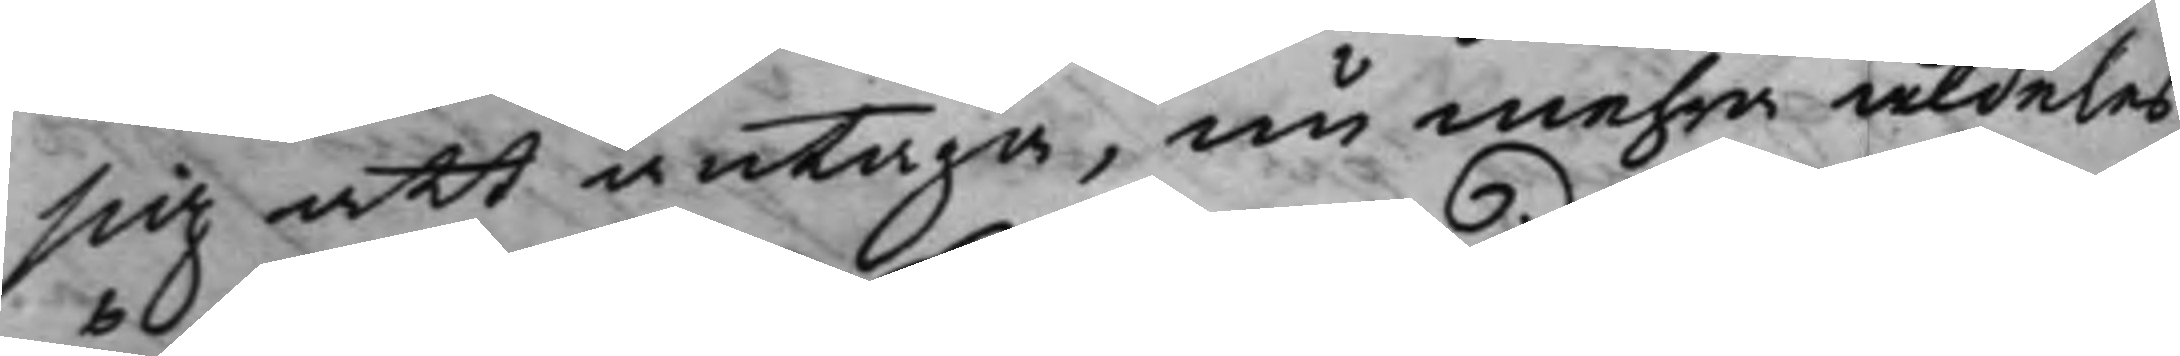sig att antaga, nu mehra aldeles
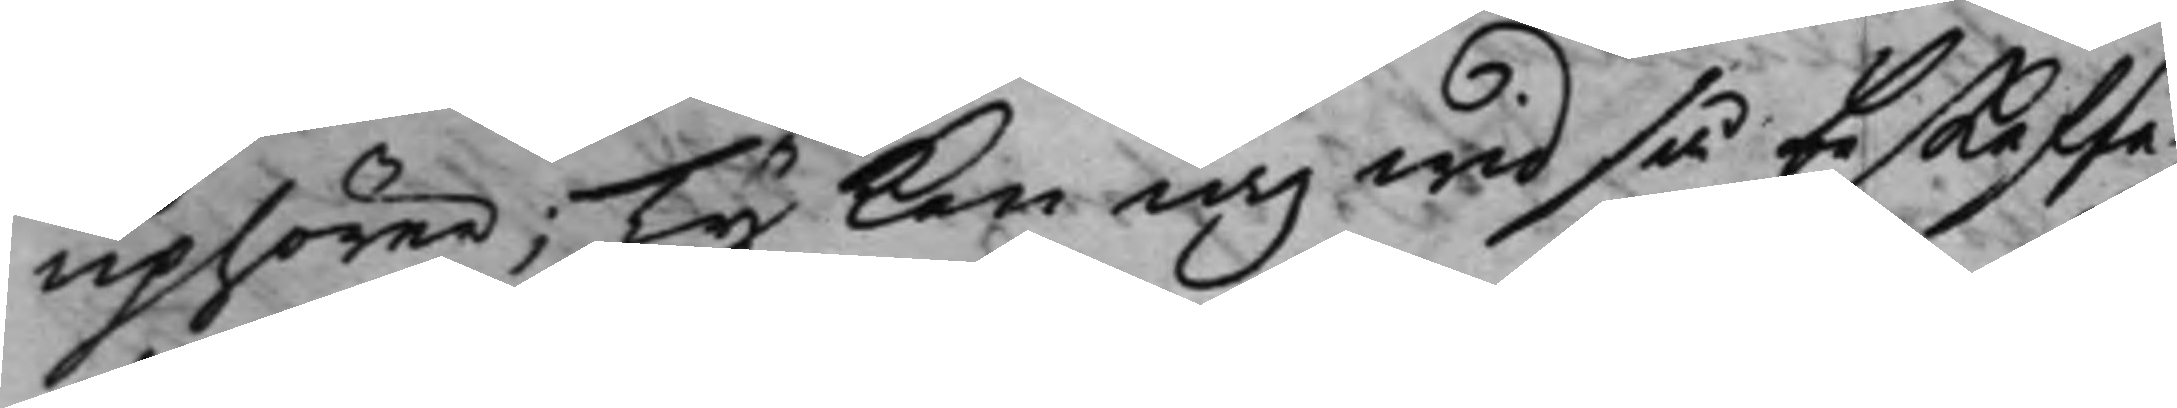uphörer; Ty kan iag wid så beskaffa¬
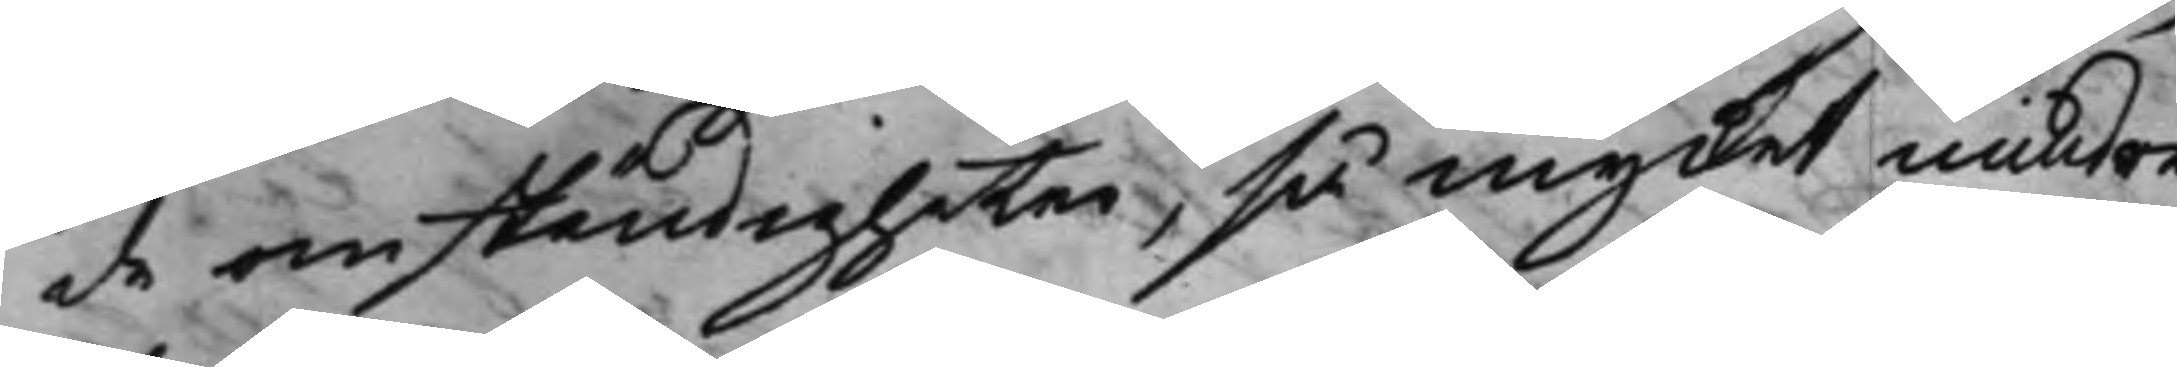de omständigheter, så mycket mindre
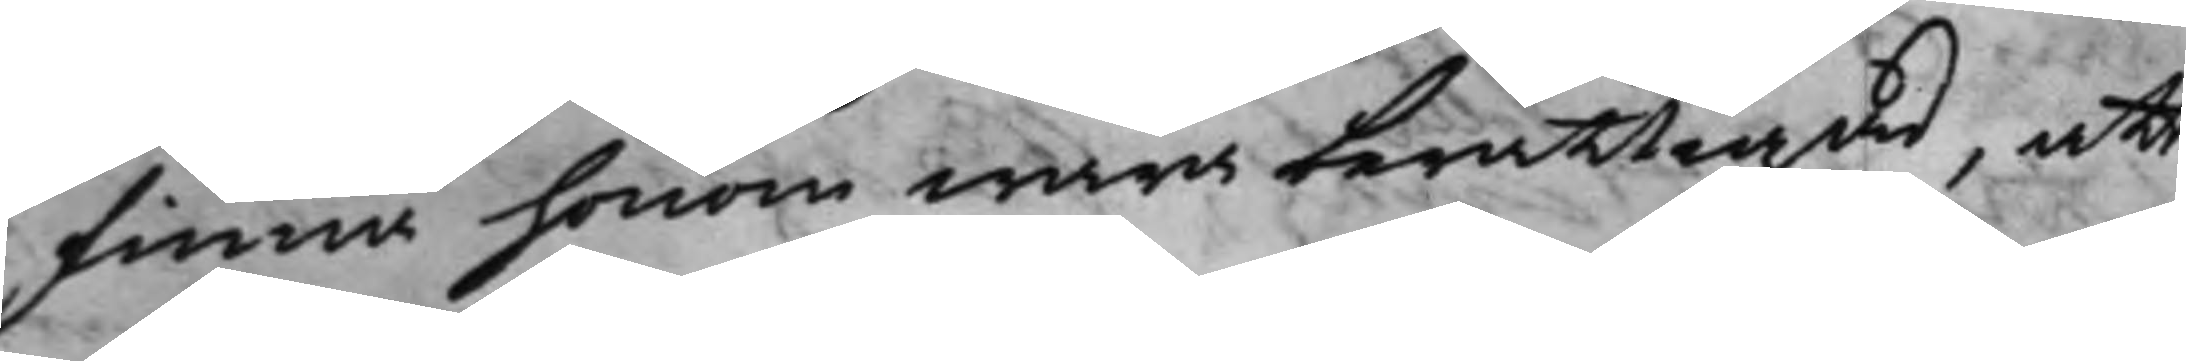finna honom wara berättigad, att
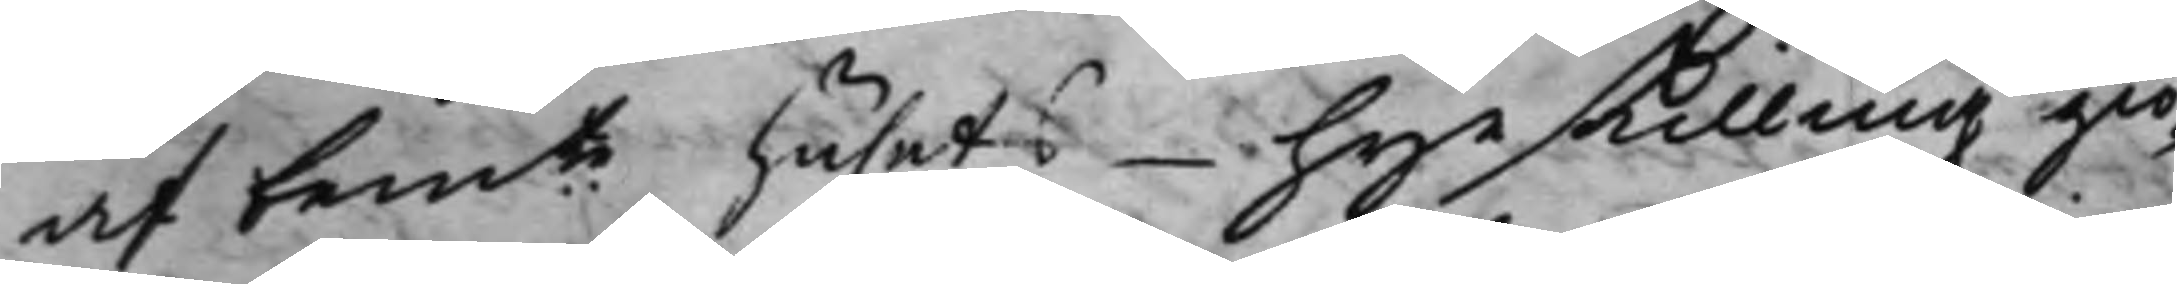af bemte husets hyrskilling giö¬
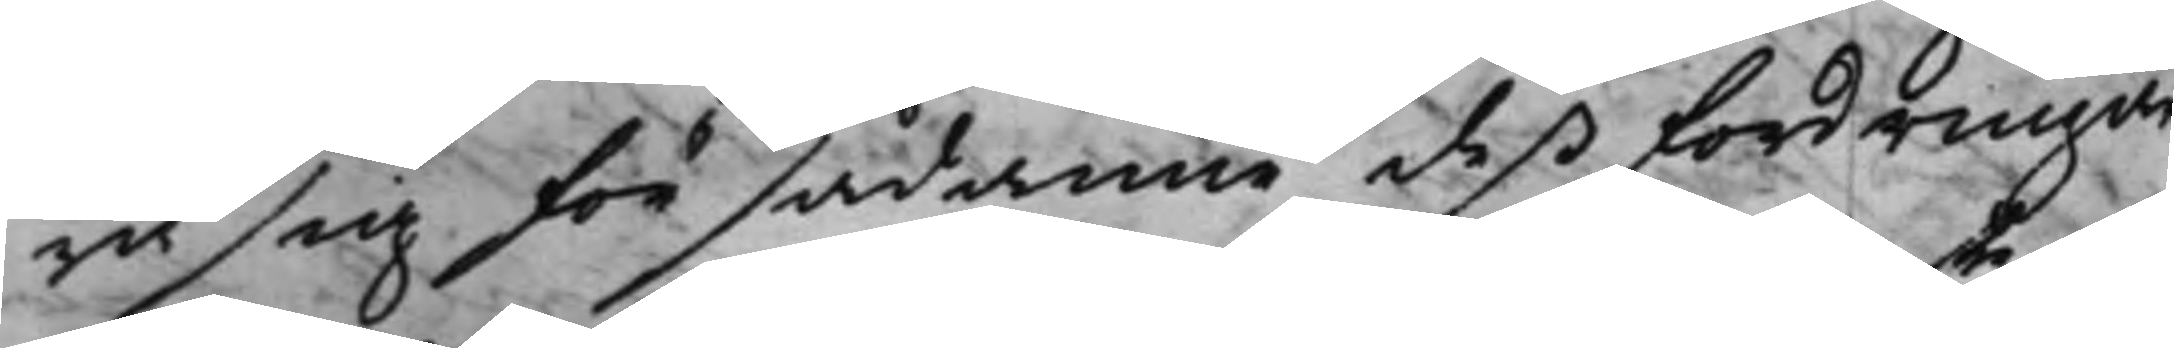ra sig för sådanne deß fordringar
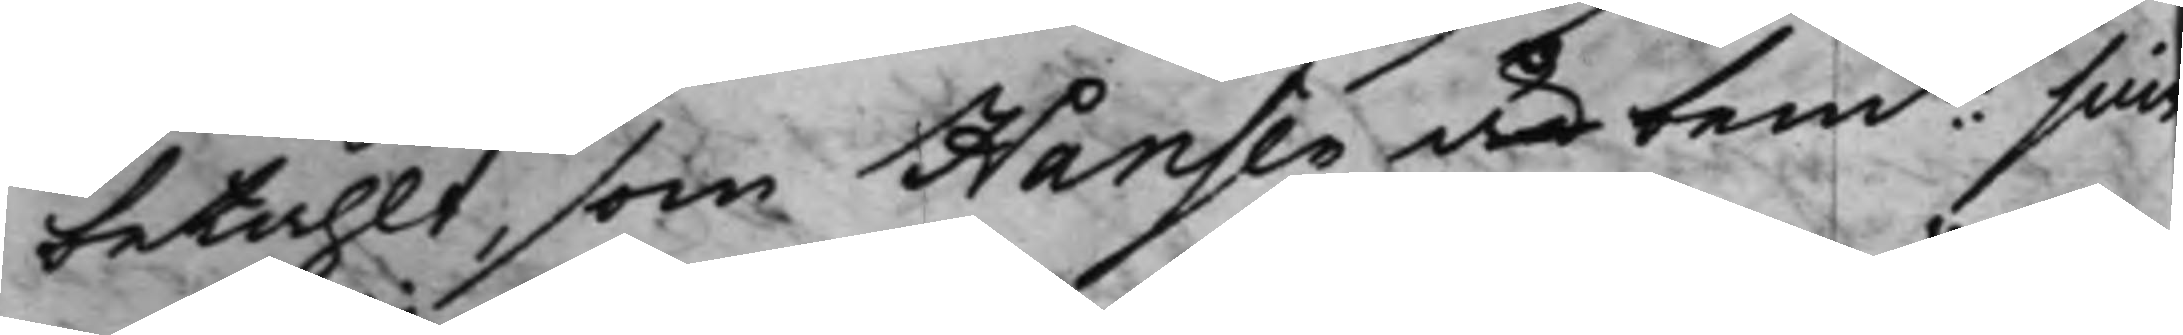betahlt, som Hansen är bemte sine
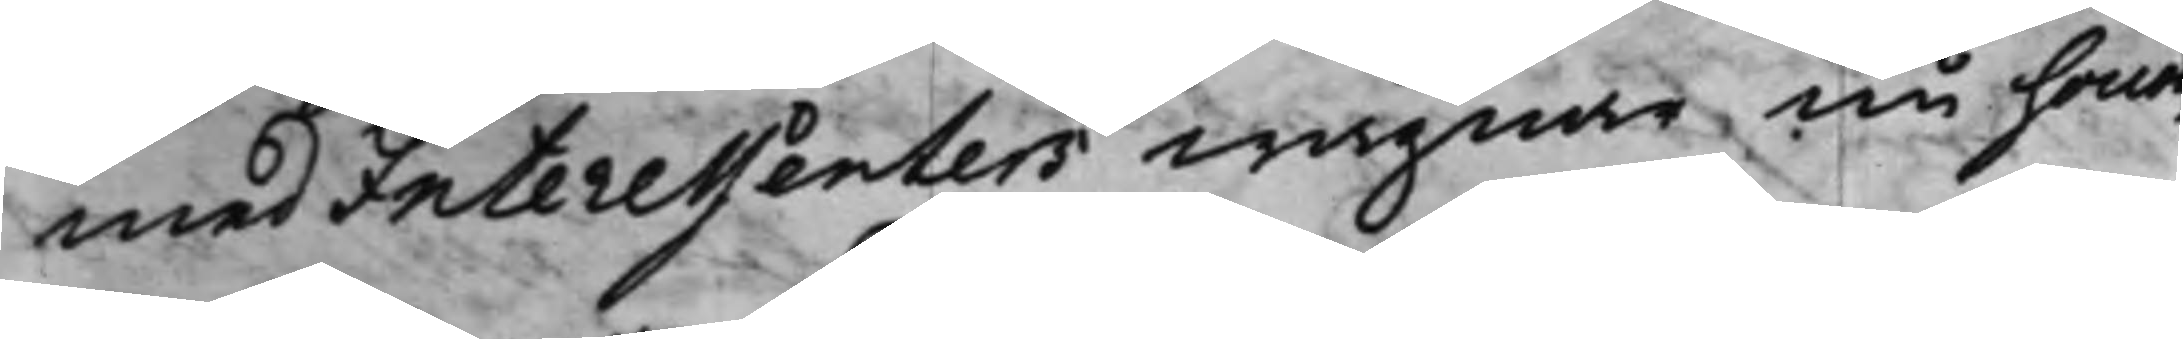med Interessenters wägnar nu honom
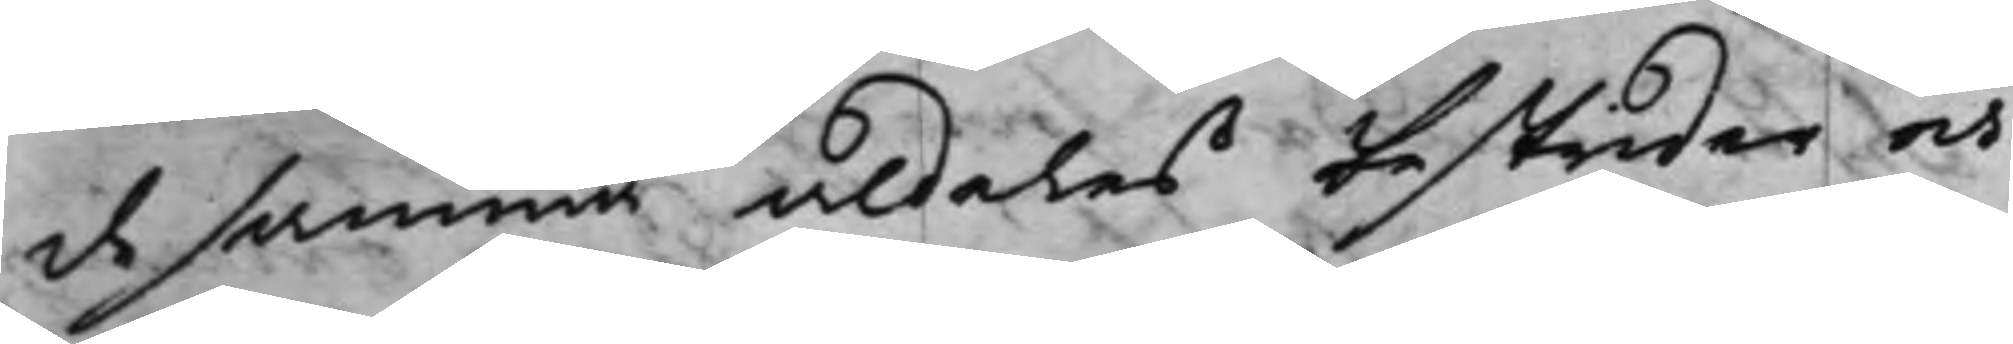de samma aldeles bestrider och
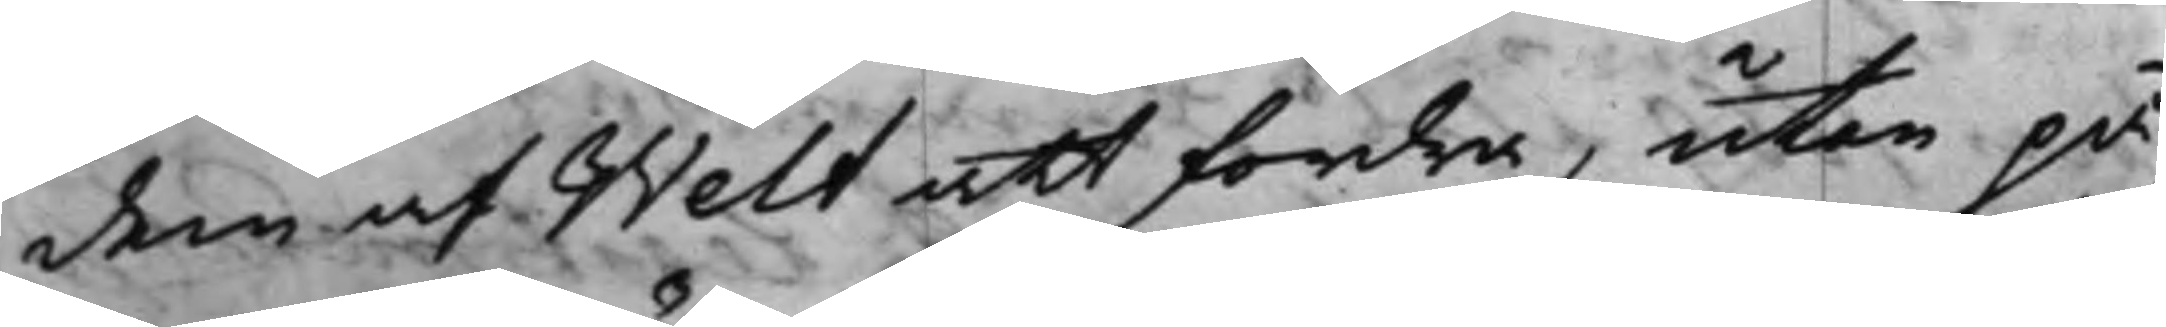dem af Welt att fordra, utan på
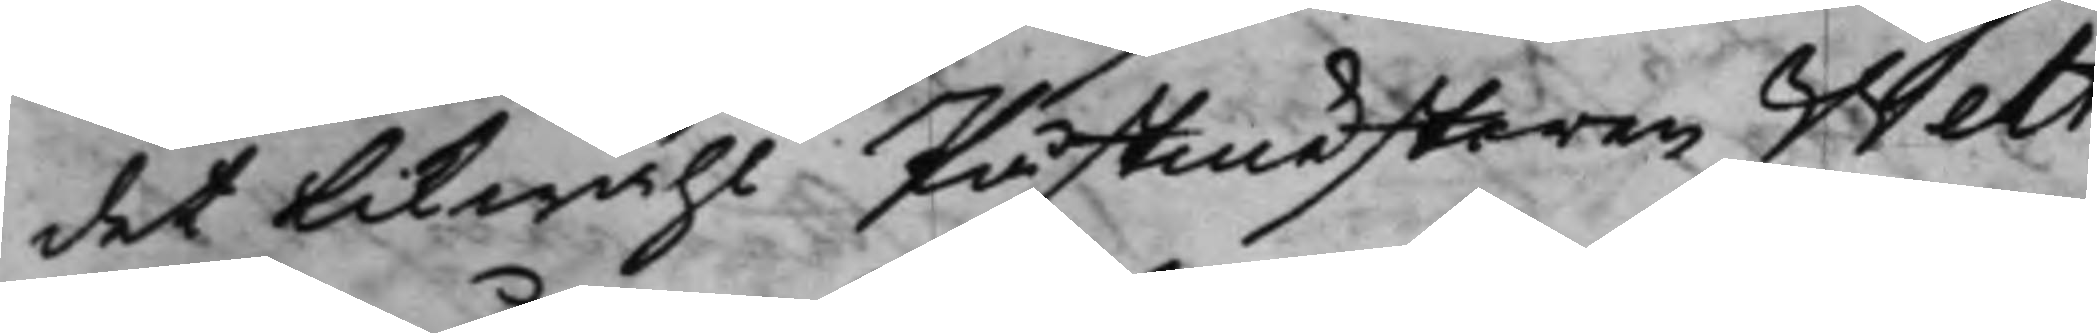det likwähl Påstmästaren Welt
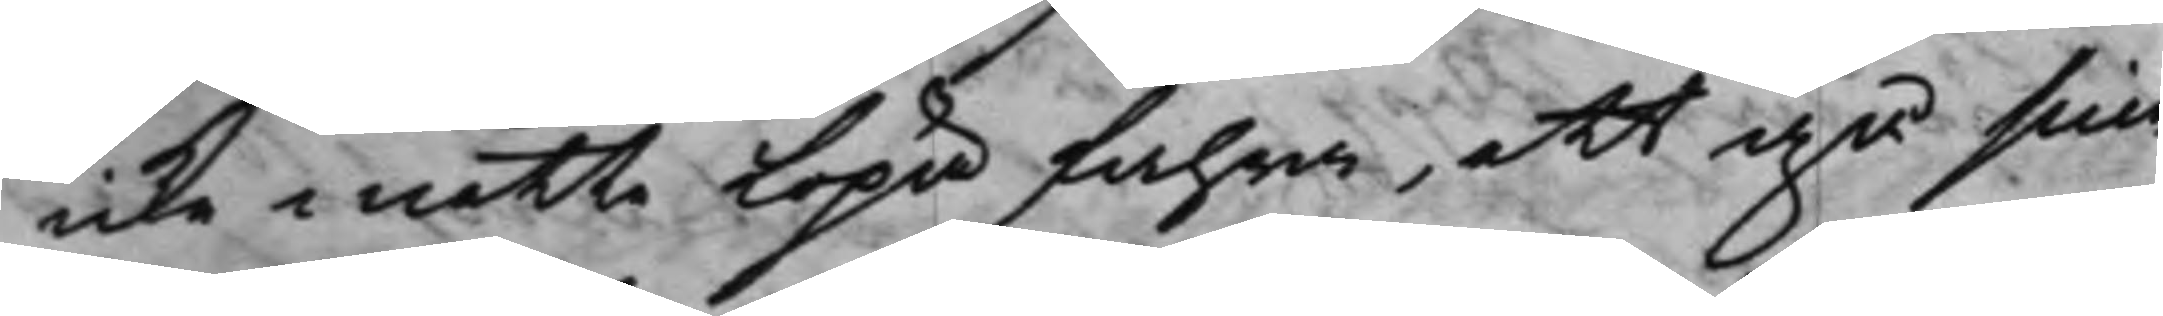icke måtte löpa fahra, att gå sina
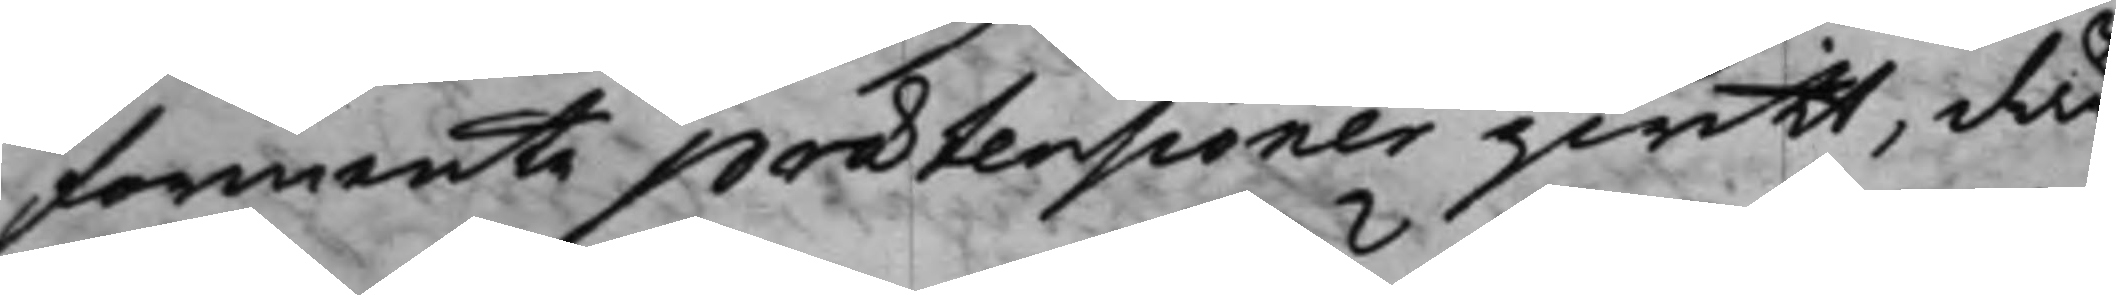förmente prætensioner qwitt, då
